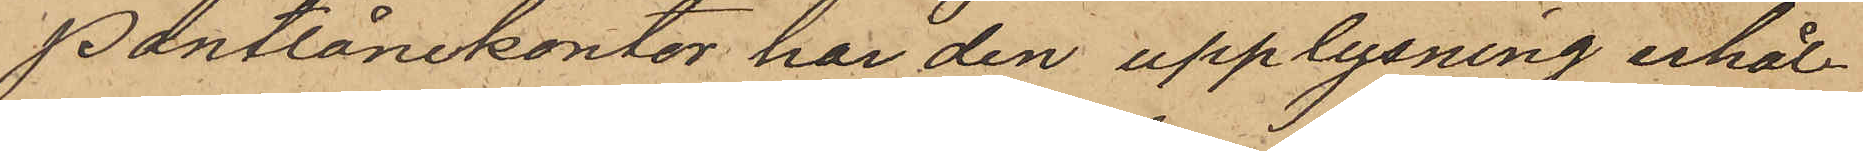Pantlånekontor har den upplysning erhål¬
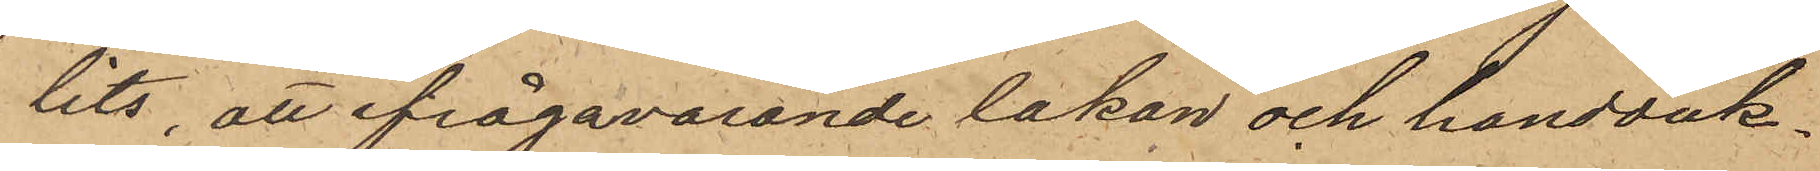lits, att ifrågavarande lakan och handduk
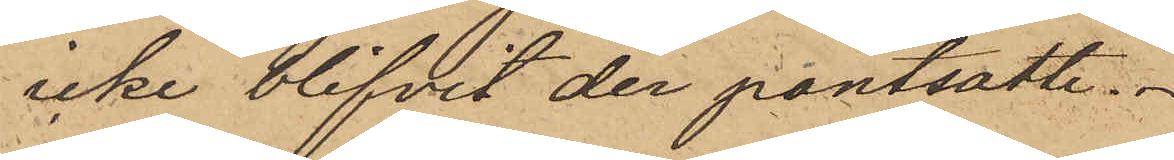icke blifvit der pantsatte.
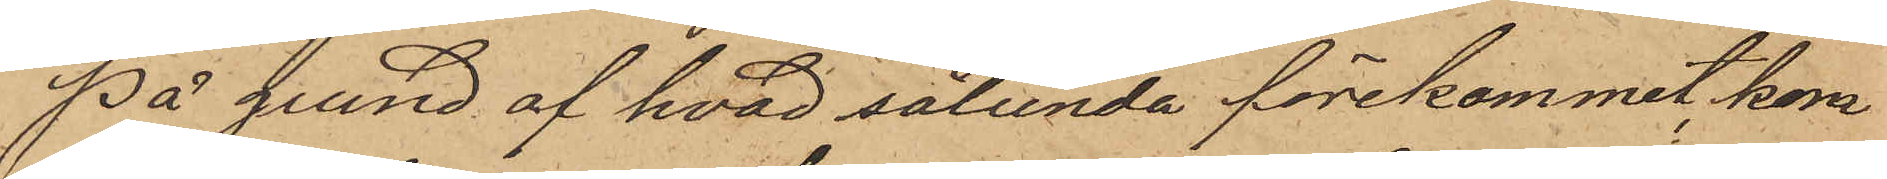På grund af hvad sålunda förekommit, kom¬
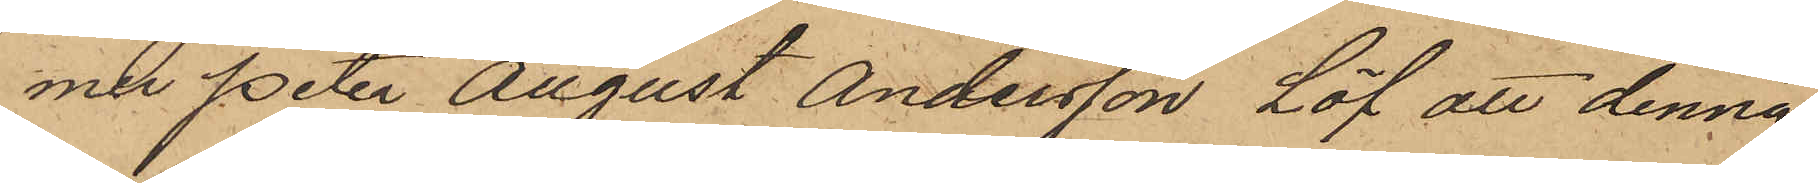mer Peter August Andersson Löf att denna
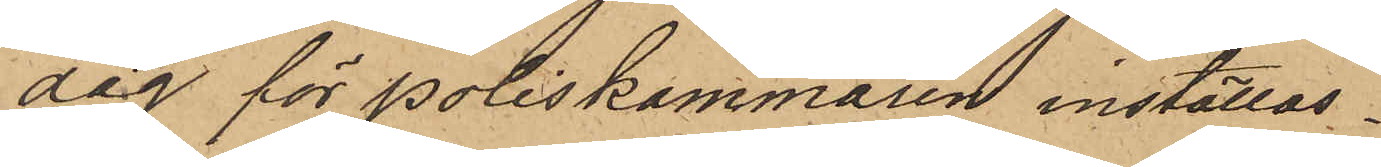dag för Poliskammaren inställas.
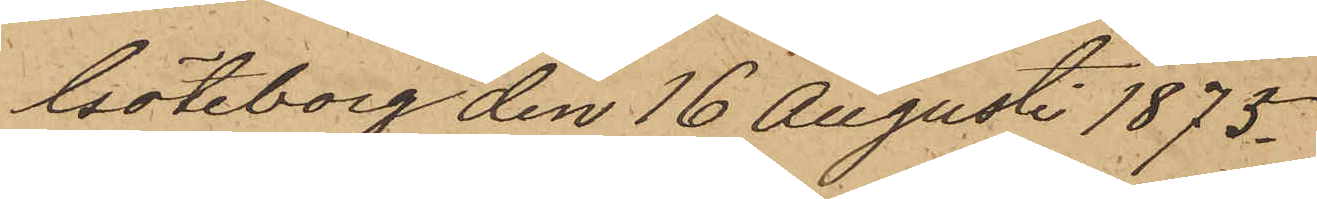Göteborg den 16 Augusti 1875.
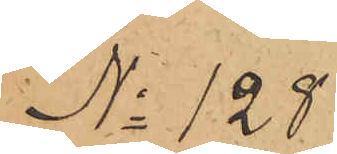No 128
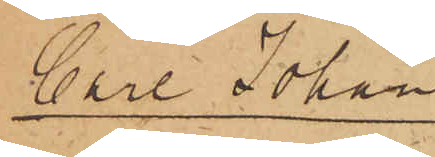Carl Johan
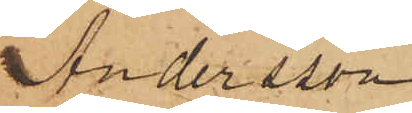Andersson.
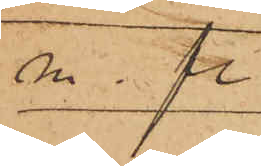m. fl.
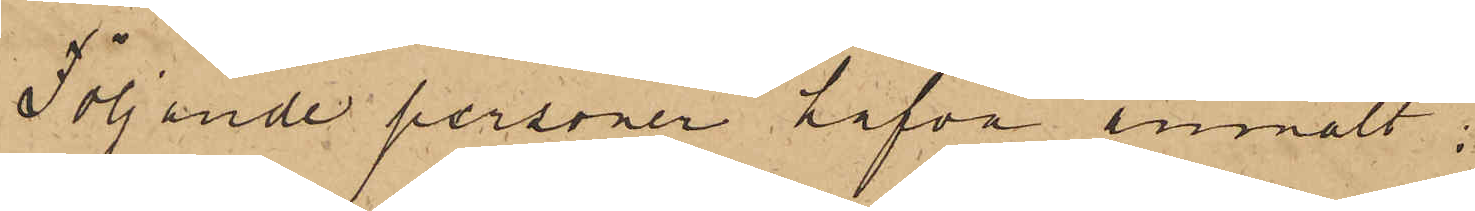Följande personer hafva anmält:
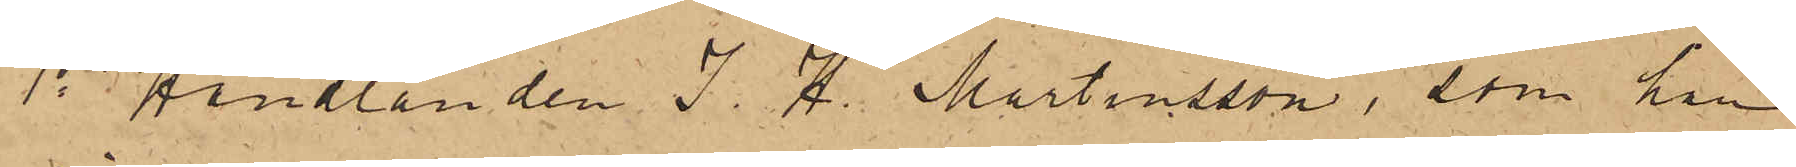1o Handlanden J. H. Martinsson, som har
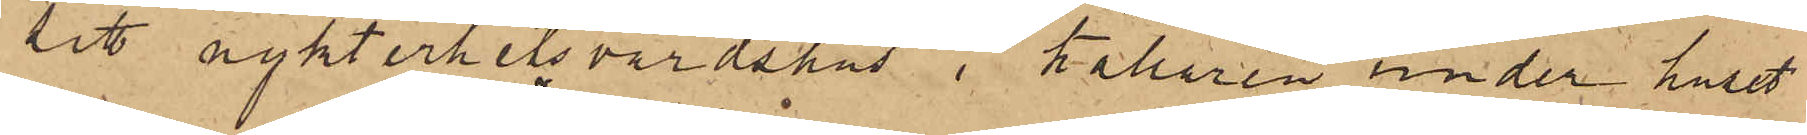sitt nykterhetsvärdshus i källaren under huset
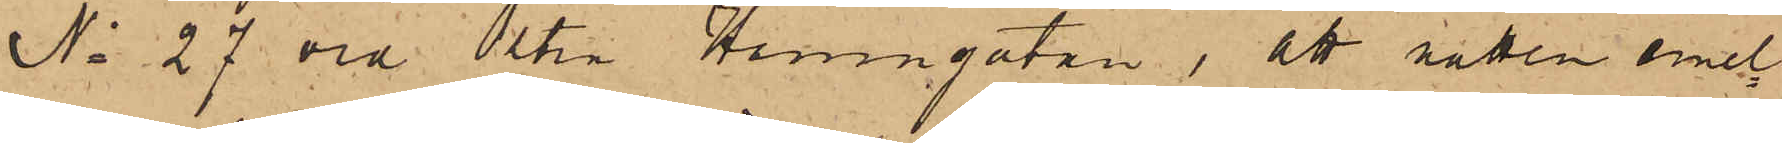No 27 vid Östra Hamngatan, att natten emel¬
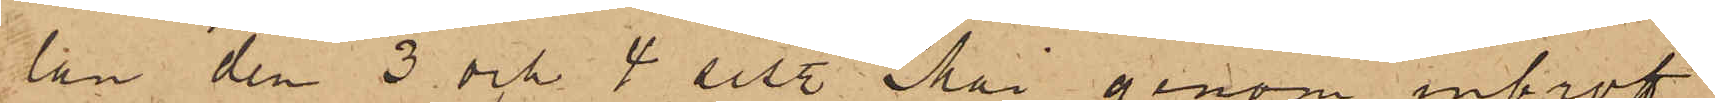lan den 3 och 4 sist. Mai genom inbrott
